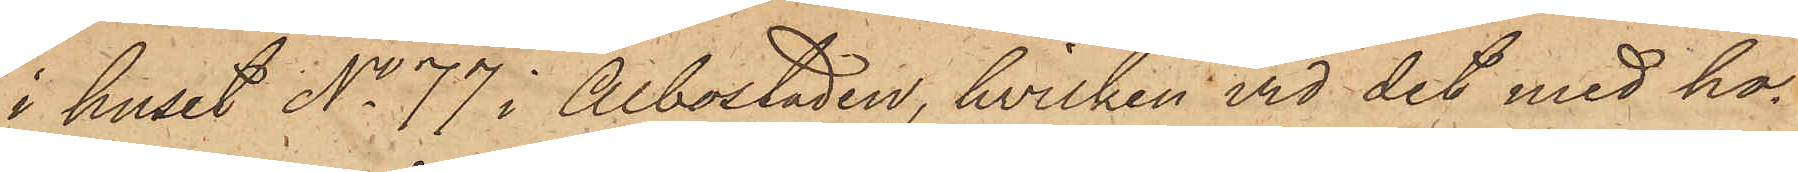i huset No 77 i Albostaden, hvilken vid det med ho¬
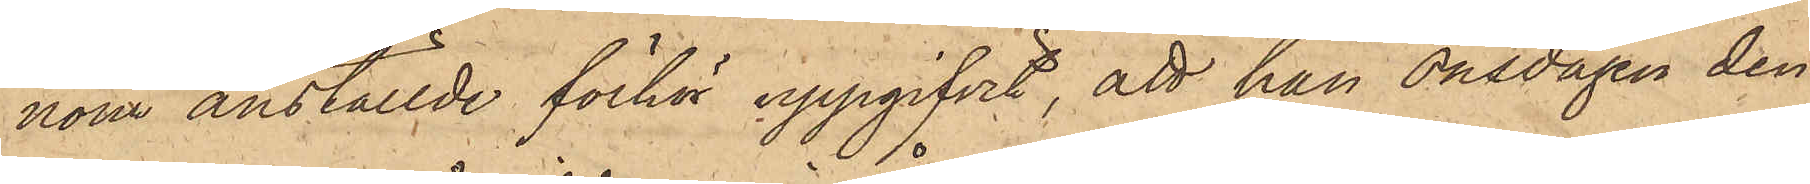nom anställde förhör uppgifvit, att han onsdagen den
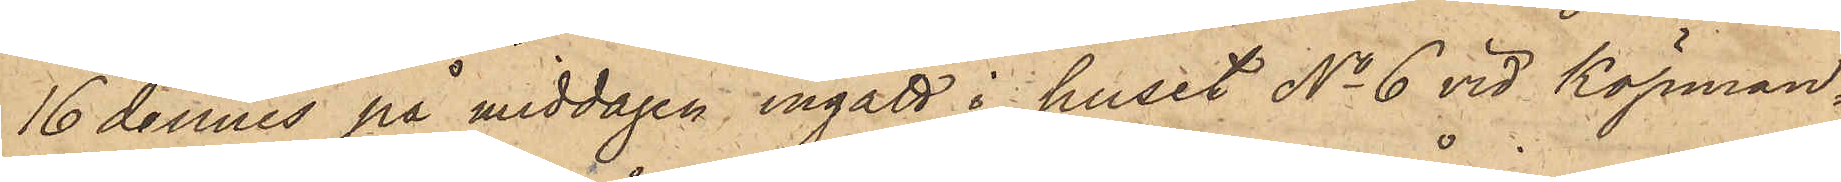16 dennes på middagen ingått i huset No 6 vid Köpman¬
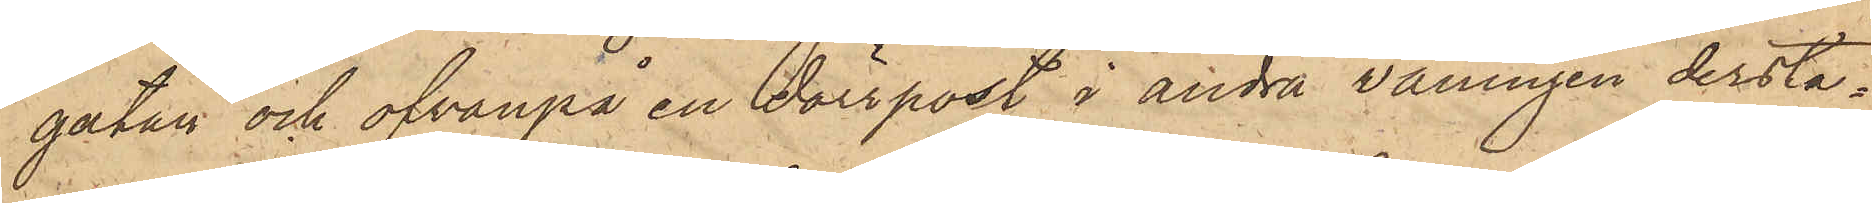gatan och ofvanpå en dörrpost å andra våningen derstä¬
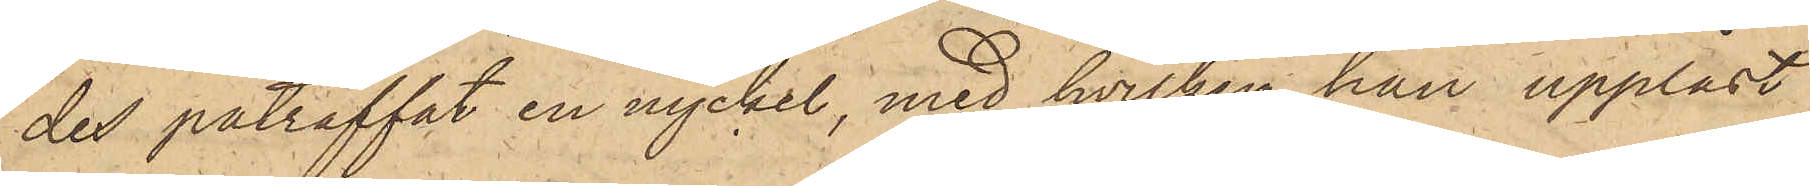des påträffat en nyckel, med hvilken han upplåst
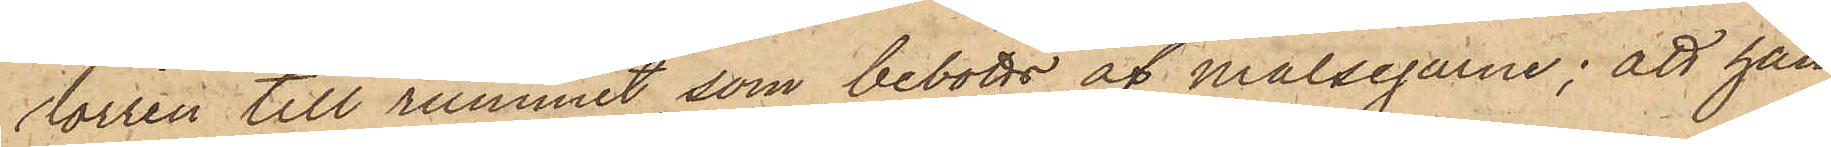dörren till rummet, som bebotts af målsegarne; att han
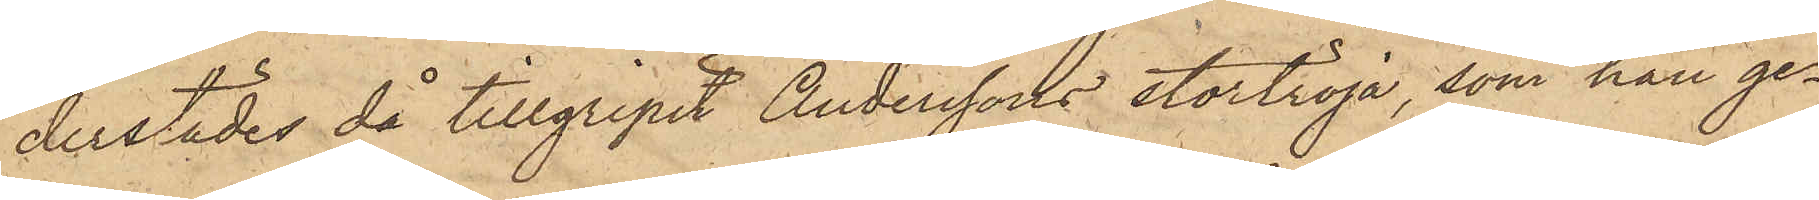derstädes då tillgripit Anderssons stortröja, som han ge¬
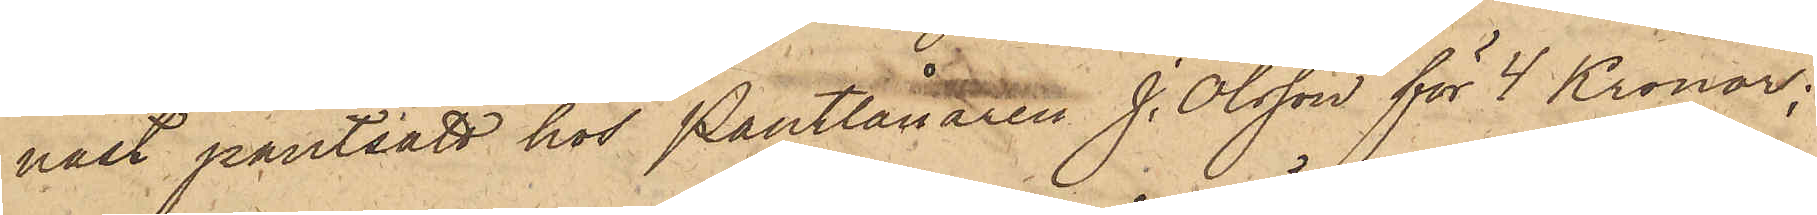nast pantsatt hos Pantlånaren J. Olsson för 4 Kronor;
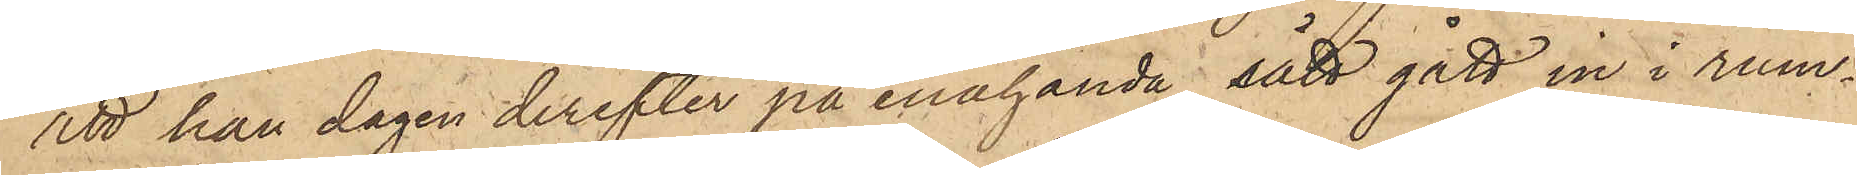att han dagen derefter på enahanda sätt gått in i rum¬
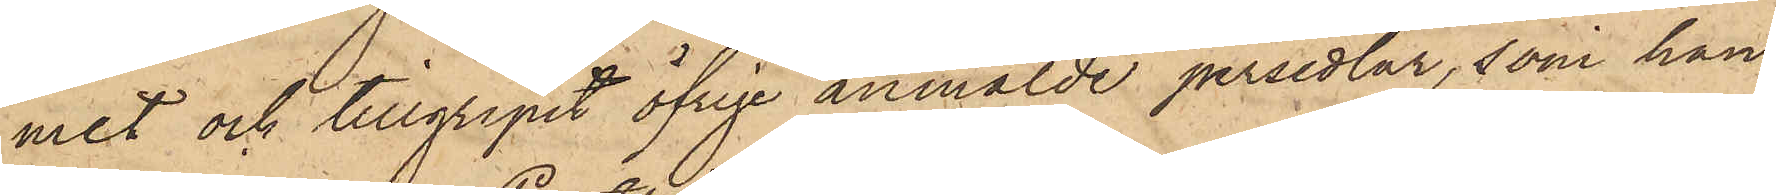met och tillgripit öfrige anmälde persedlar, som han
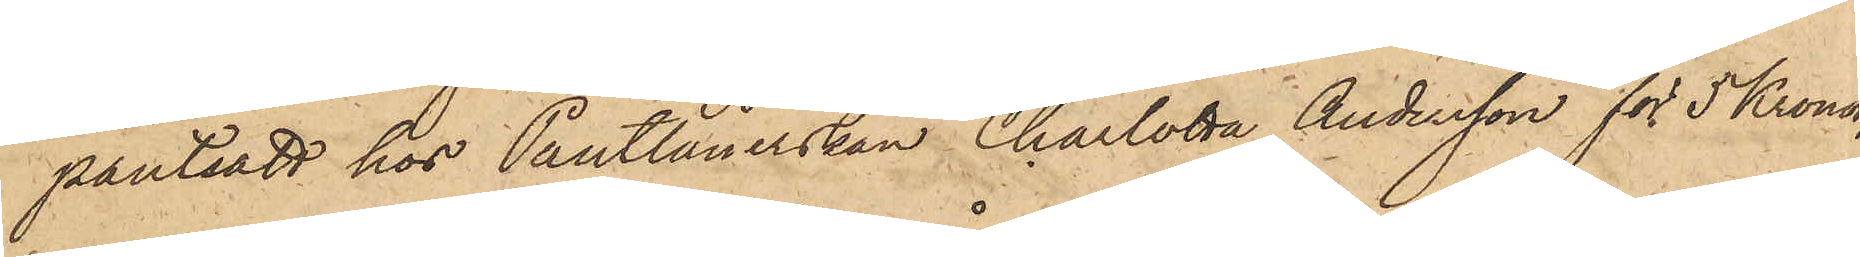pantsatt hos Pantlånerskan Charlotta Andersson för 5 Kronor;
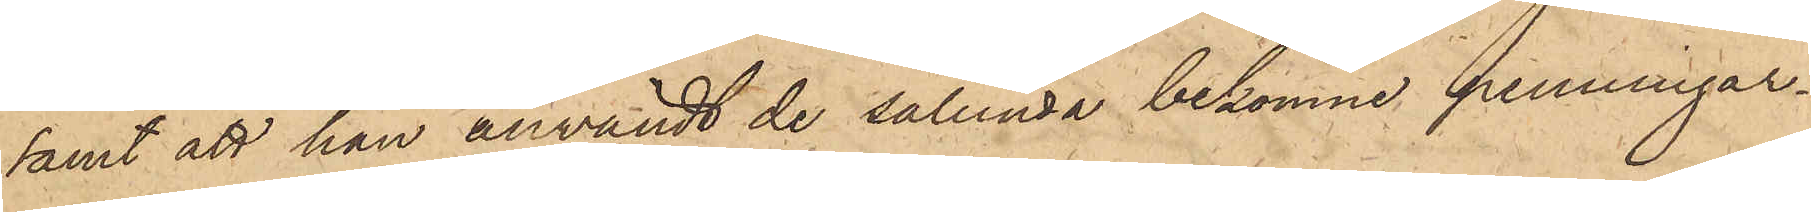samt att han användt de sålunda bekomne penningar¬
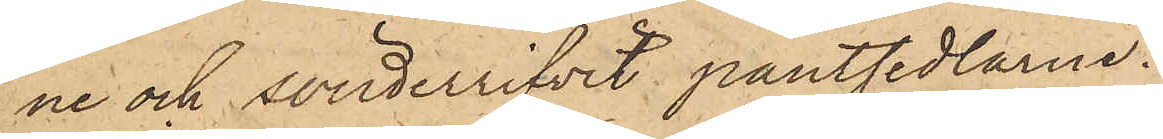ne och sönderrifvit pantsedlarne.
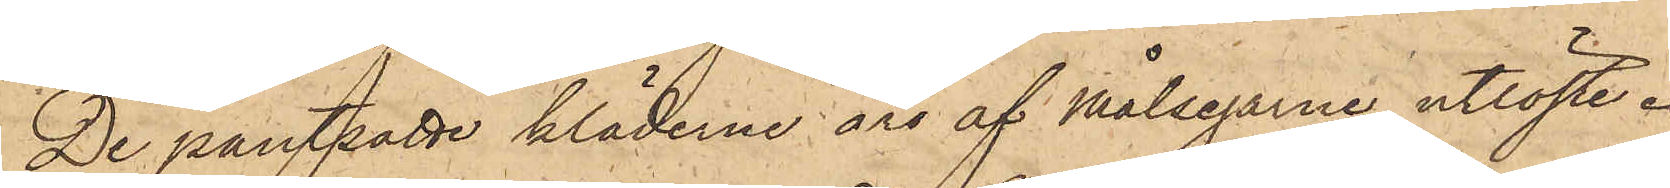De pantsatte kläderne äro af målsegarne utlöste.
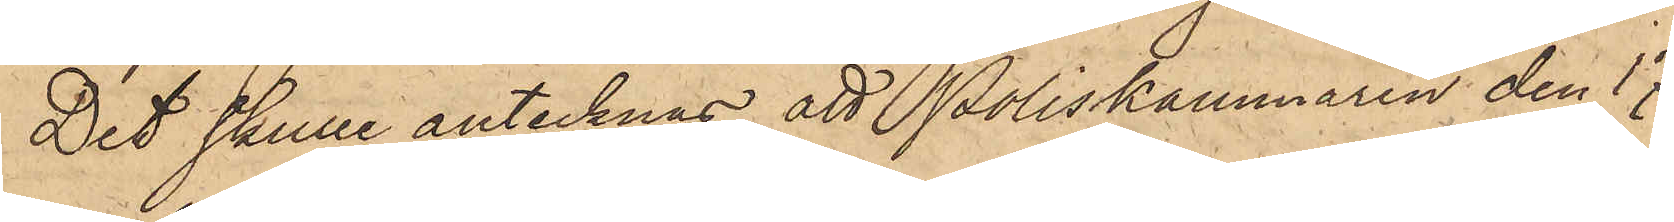Det skulle antecknas, att Poliskammaren den 17
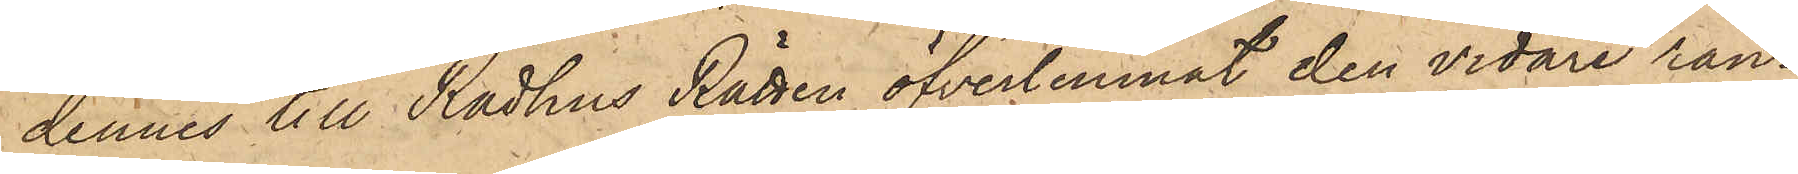dennes till Rådhus Rätten öfverlemnat den vidare ran¬
